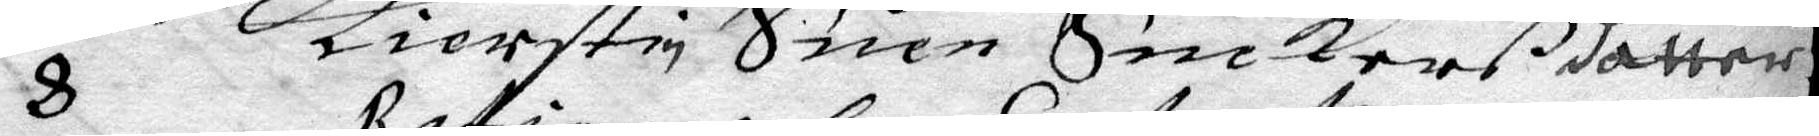8 Kierstin Suen Snedkerß dåtter
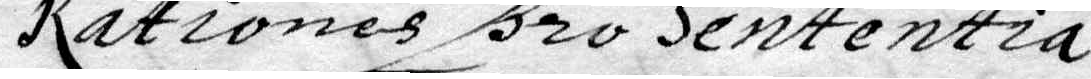Rationes pro Sententia
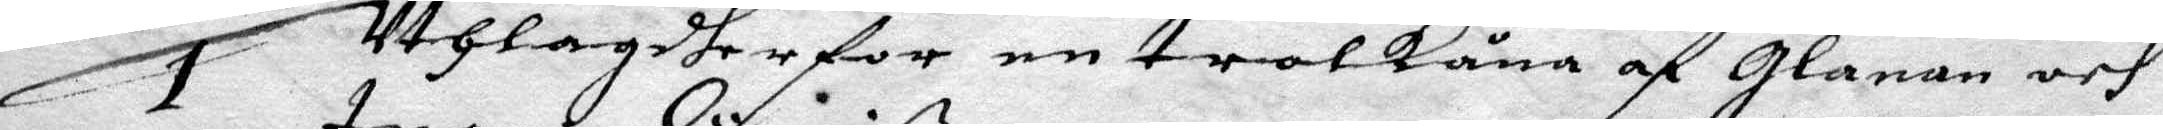1 Uthlagdher for en trolkåna af glanan och 
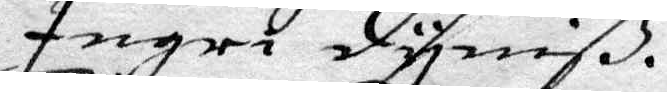Ingri dyniß.
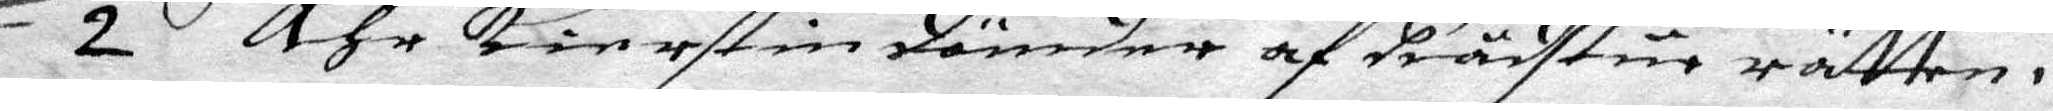2 Ähr Kiertsin dömder af Rådstue rätten i
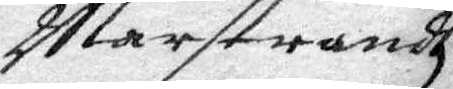Marstandh
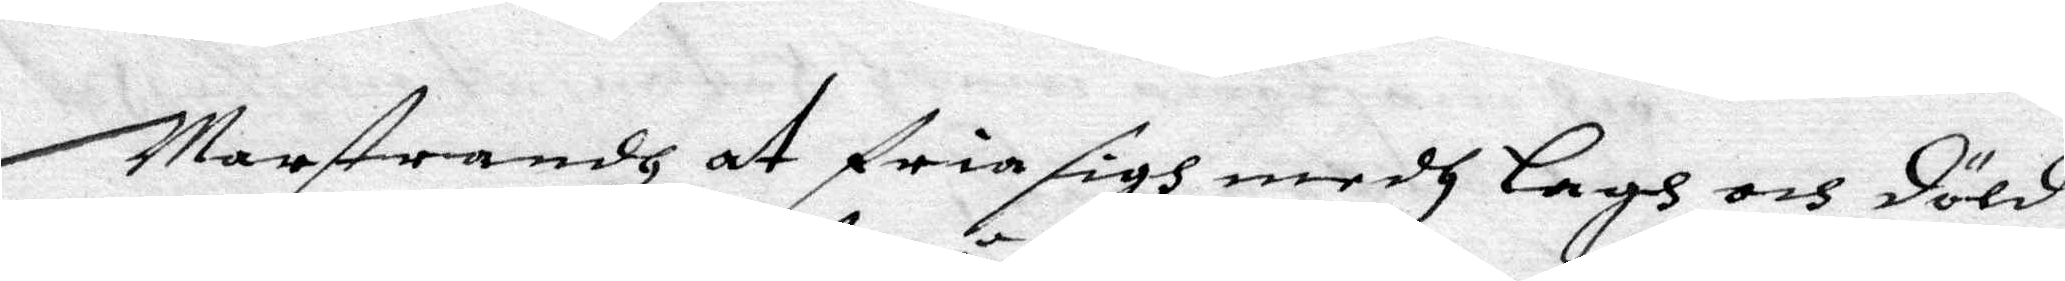marstrandh at fria sigh medh Lagh och döld
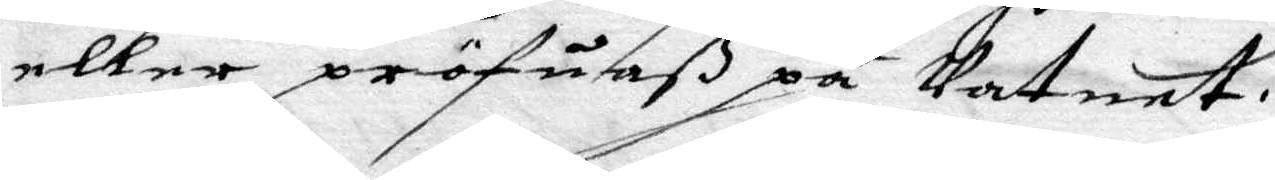eller pröfuaß på Vatnet.
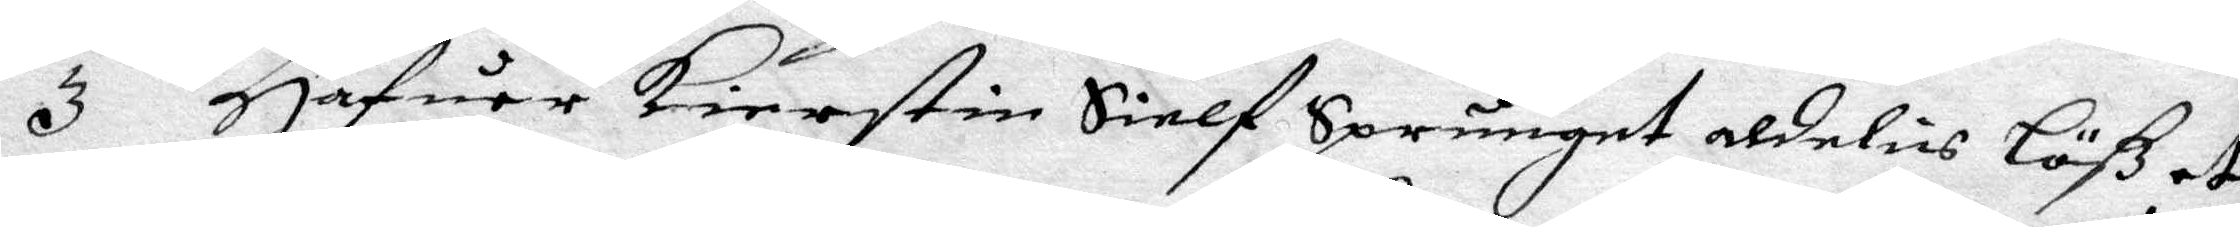3 Hafuer Kierstin Sielf Sprunget aldelis Löß at
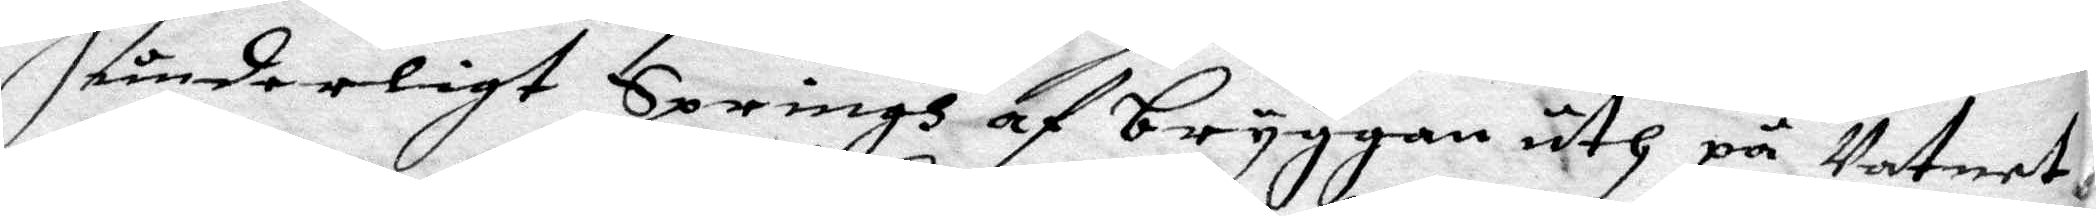underligt Springh af bryggan uth på Vatnet
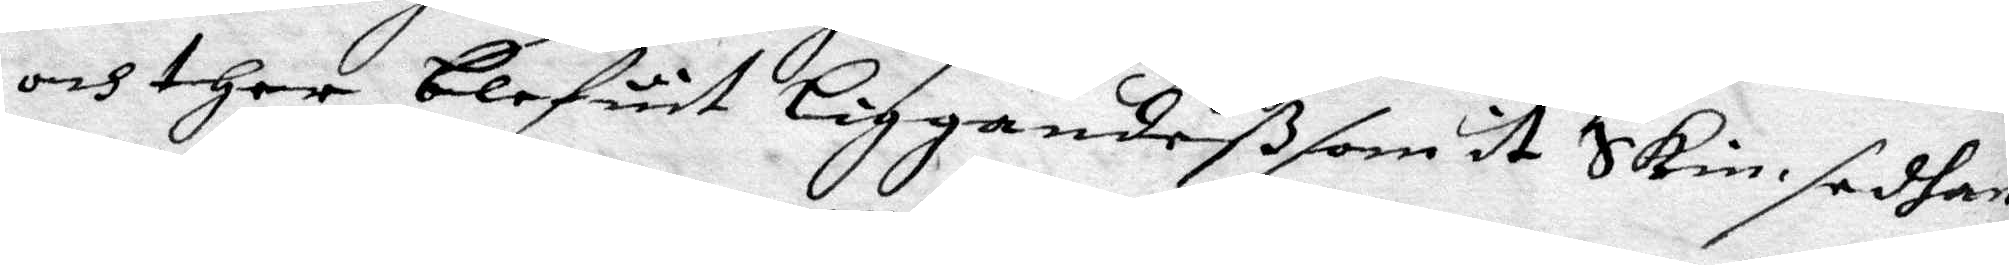och ther blefuut Liggandeß som it Skin sedhan
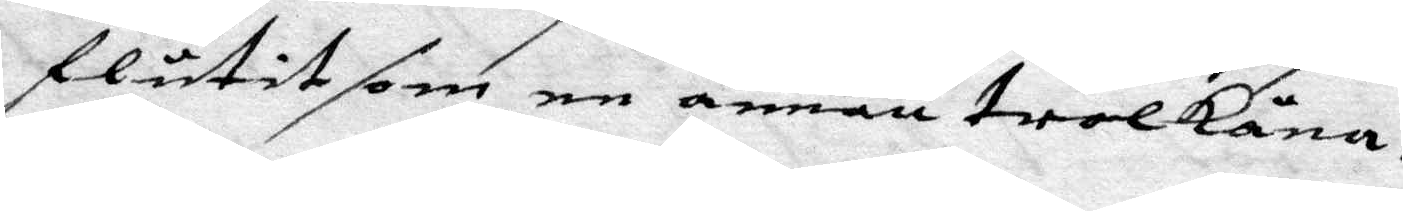flutit som en annan trolkåna,
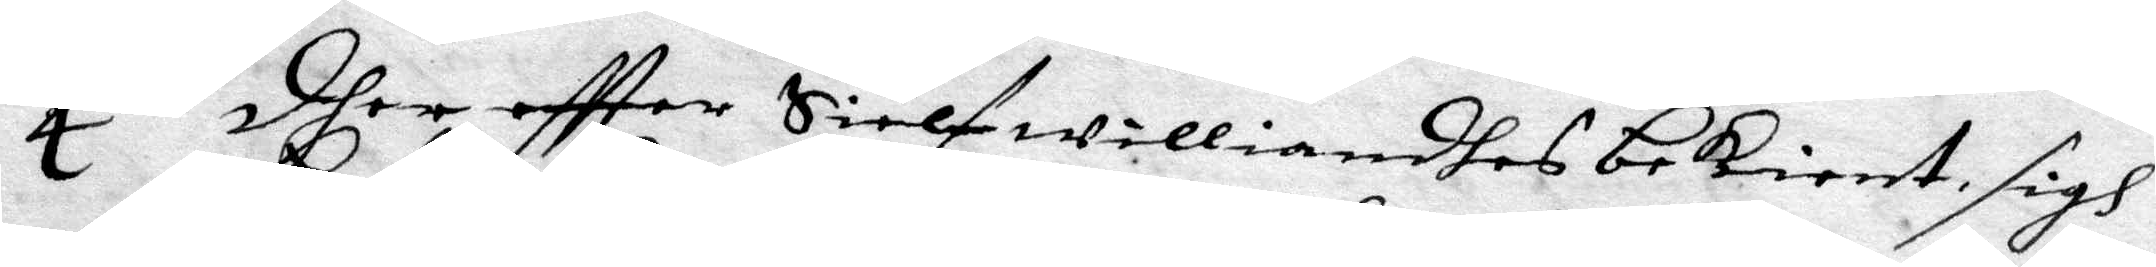4 dher eftter Sielf williandes bekient sigh
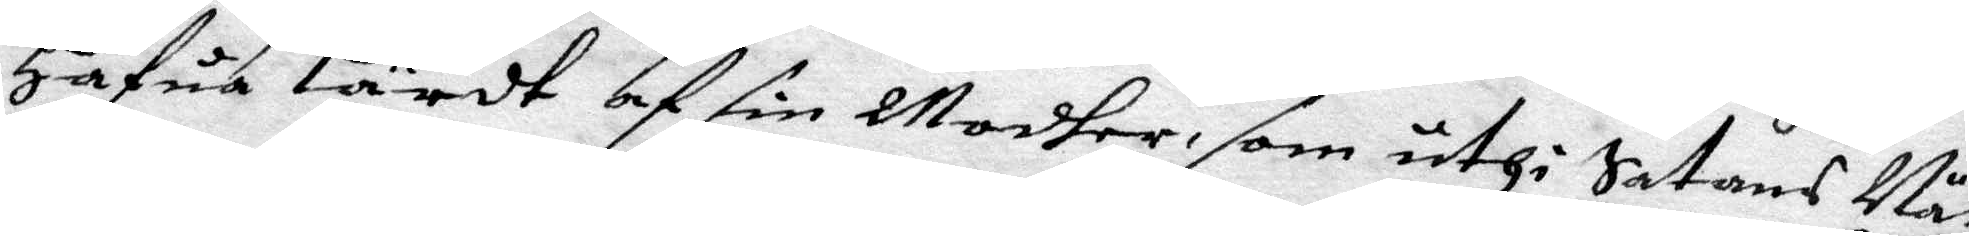Hafua Lärdt af sin Modher, som uthi Satans När¬
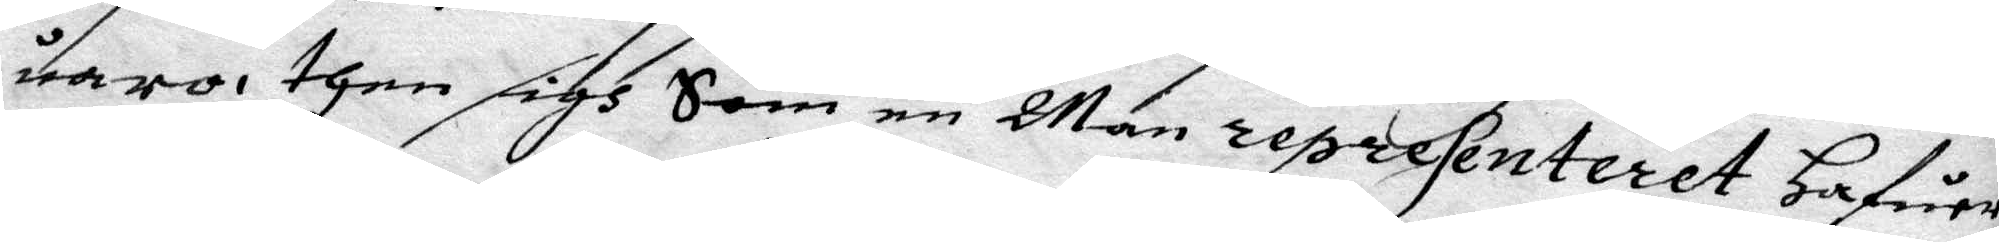uaro, then sigh Som en Man representeter hafuer,
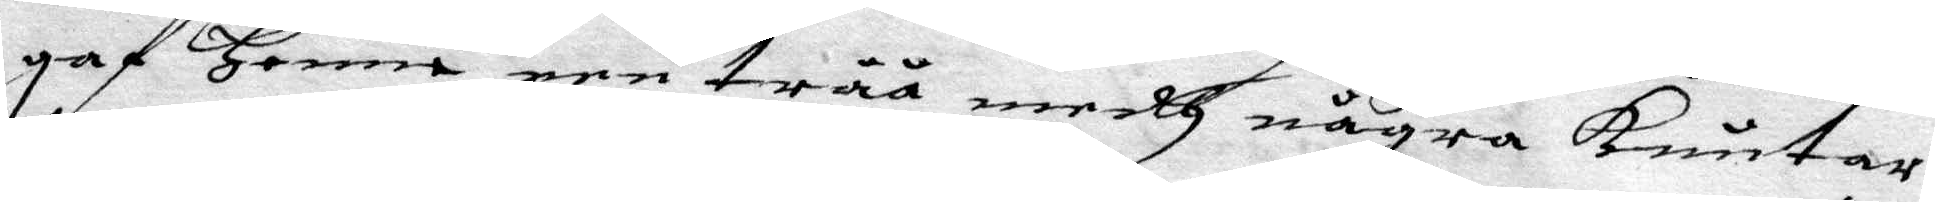gaf Henne een tråå medh några knutar,
